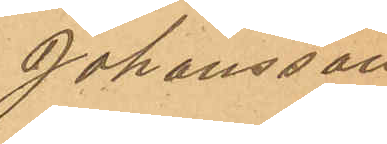Johansson
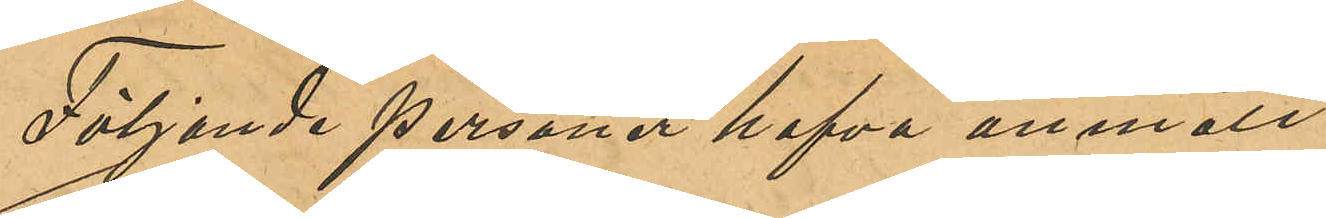Följande personer hafva anmält:
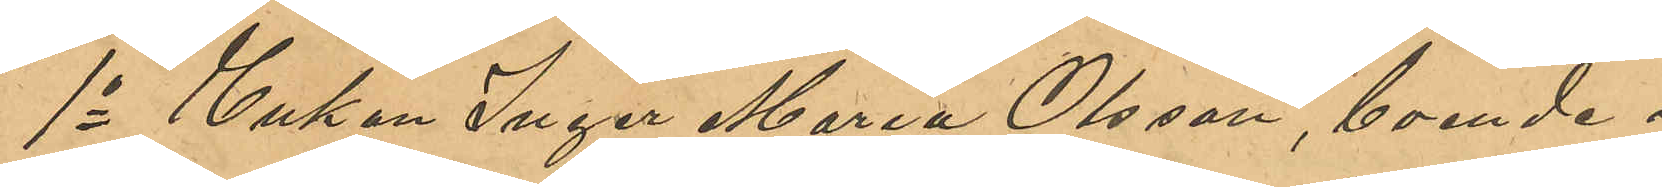1o Enkan Inger Maria Olsson, boende i
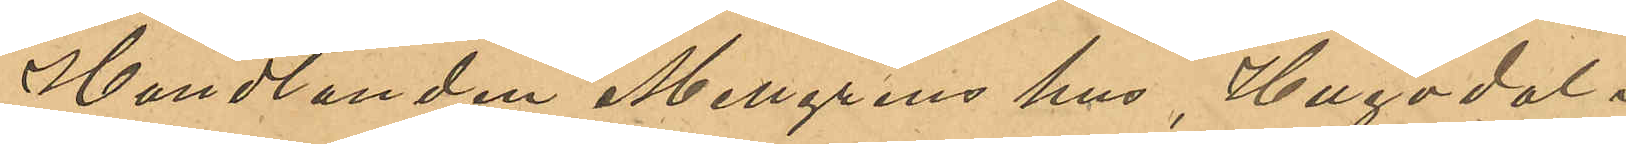Handlanden Mellgrens hus, Hugodal i
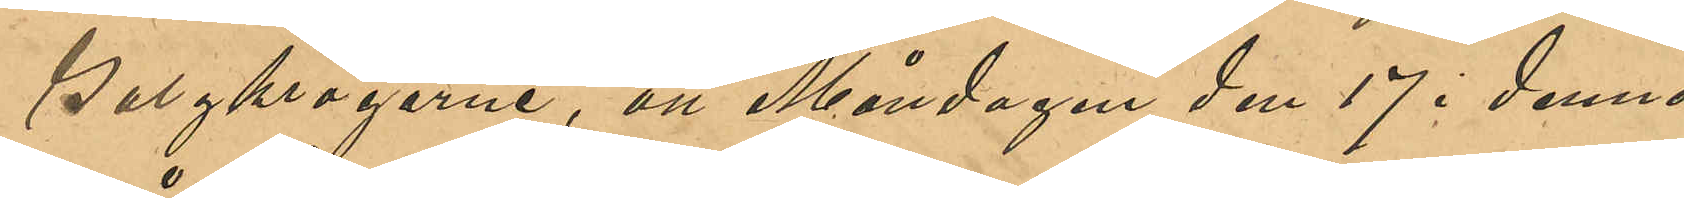Galgkrogarne, att Måndagen den 17 i denna
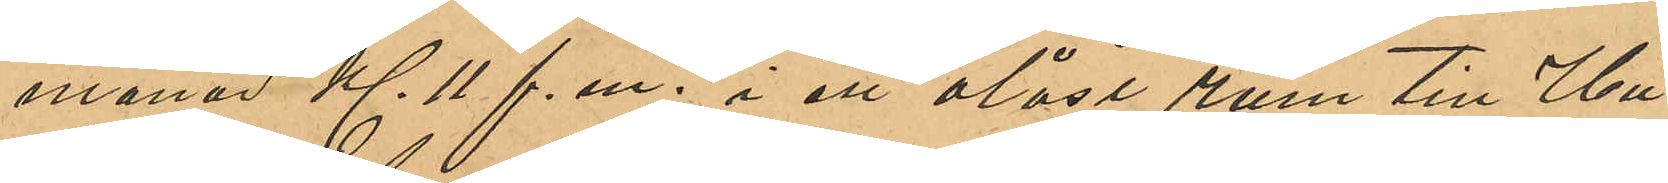månad Kl 11 f. m. i ett olåst rum till Hu¬
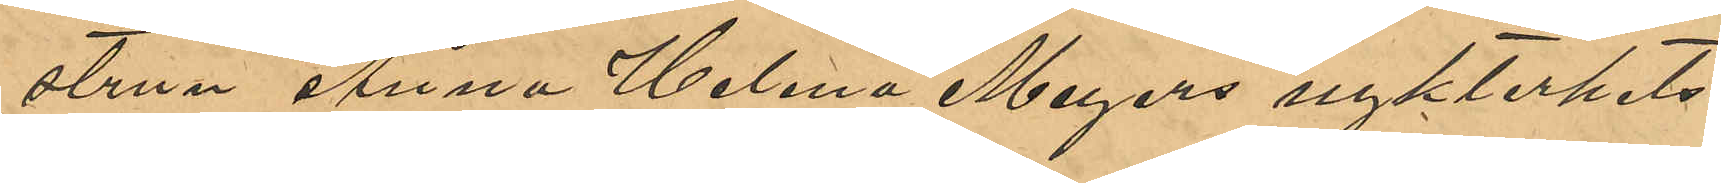strun Anna Helena Meyers nykterhets¬
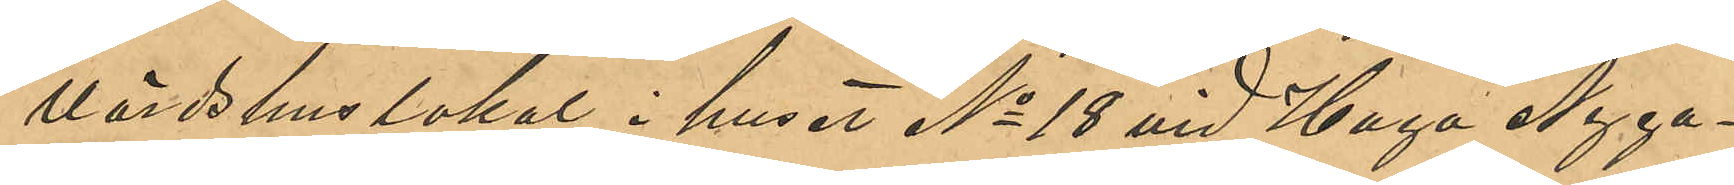värdshuslokal i huset No 18 vid Haga Nyga¬
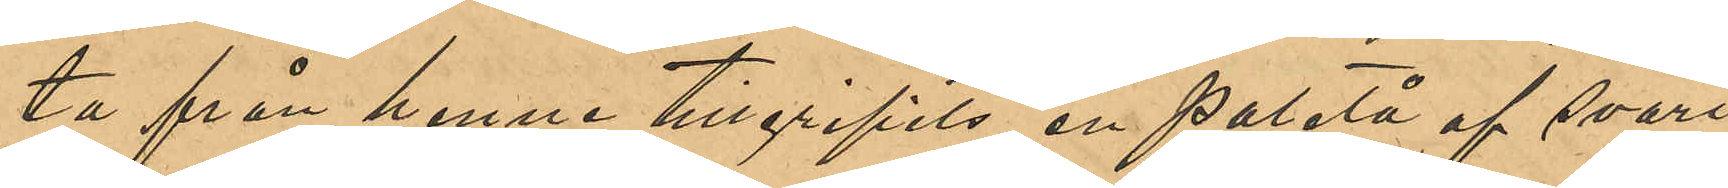ta från henne tillgripits en paletå af svart
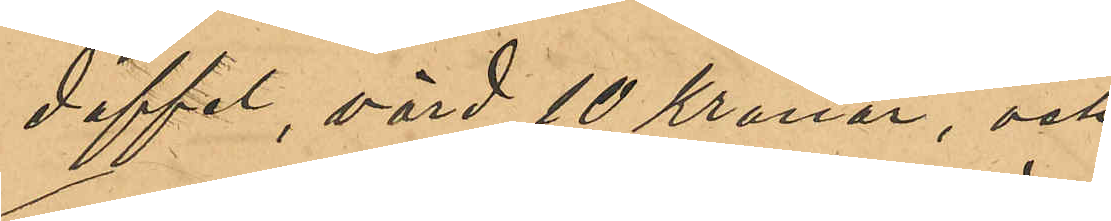doffel, värd 10 Kronor, och
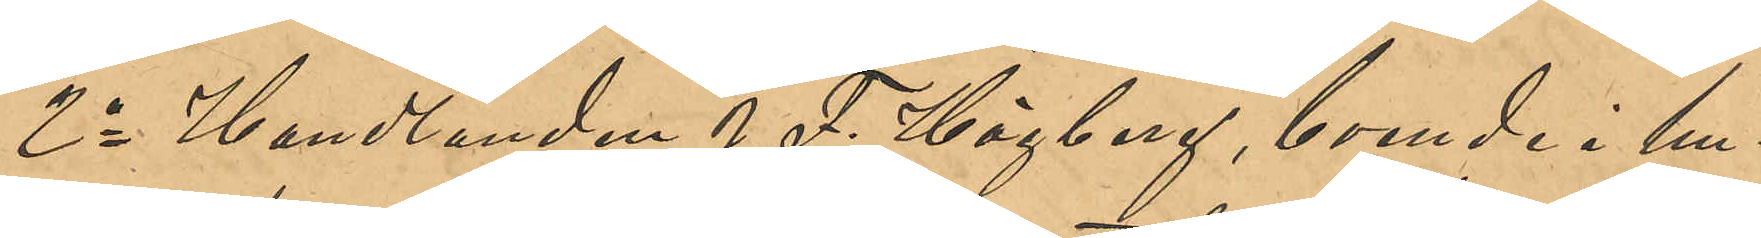2o Handlanden J. F. Högberg, boende i hu¬
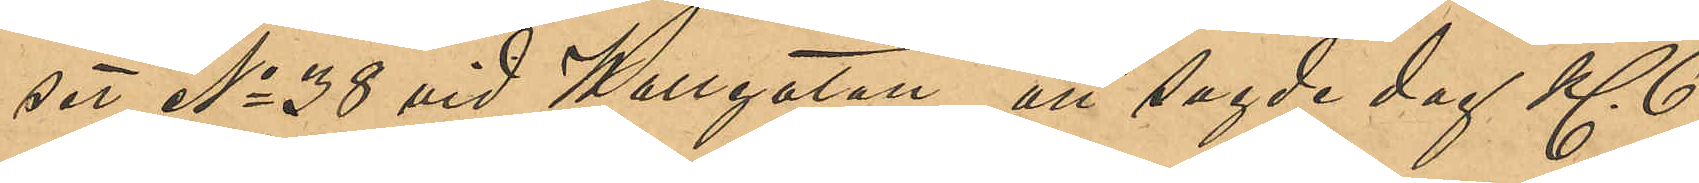set No 38 vid Wallgatan, att sagde dag Kl 6
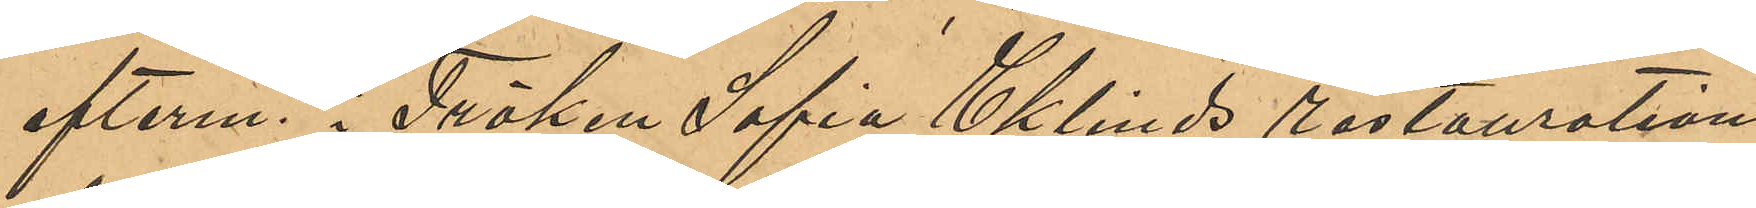efterm. i Fröken Sofia Eklinds restaurations¬
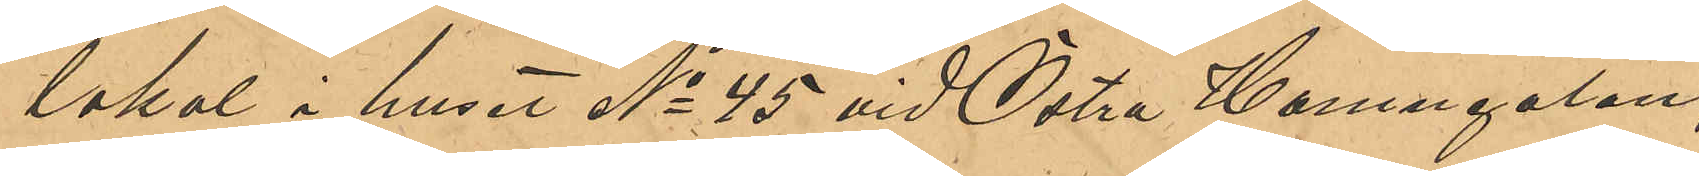lokal i huset No 45 vid Östra Hamngatan,
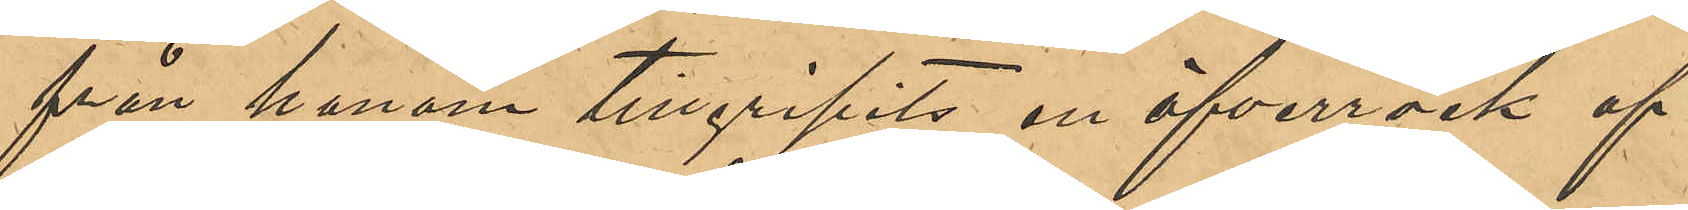från honom tillgripits en öfverrock af
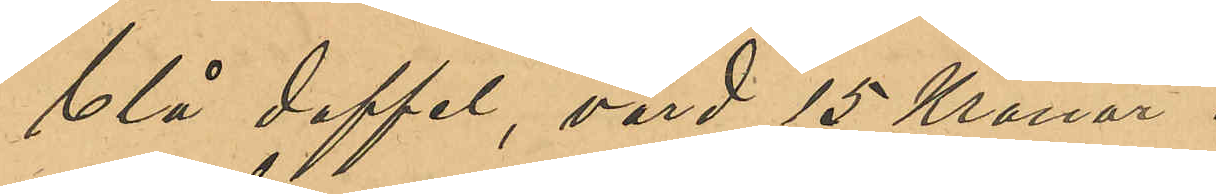blå doffel, värd 15 Kronor.
